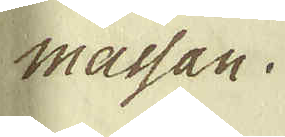massan.
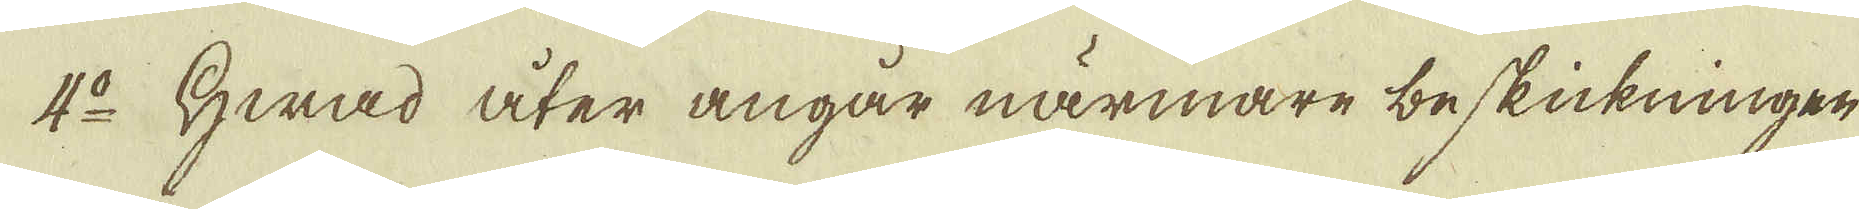4:o Hwad åter angår närmare beskickningen
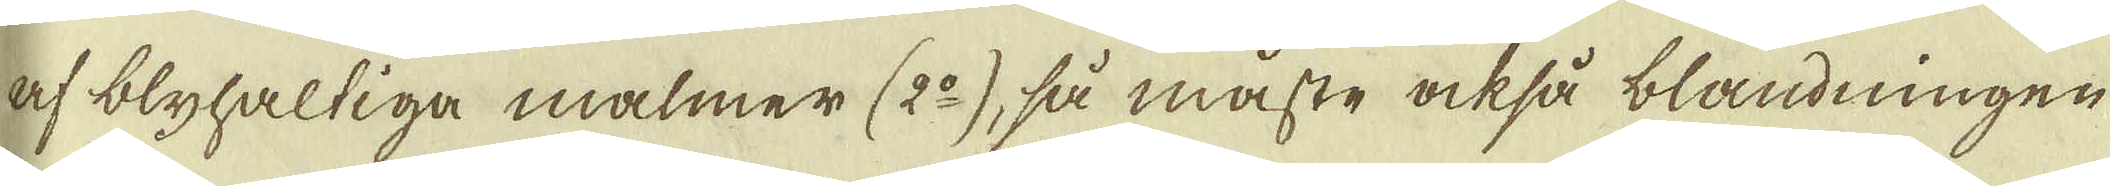af blyhaltiga malmer (2:o), så måste också blandningen
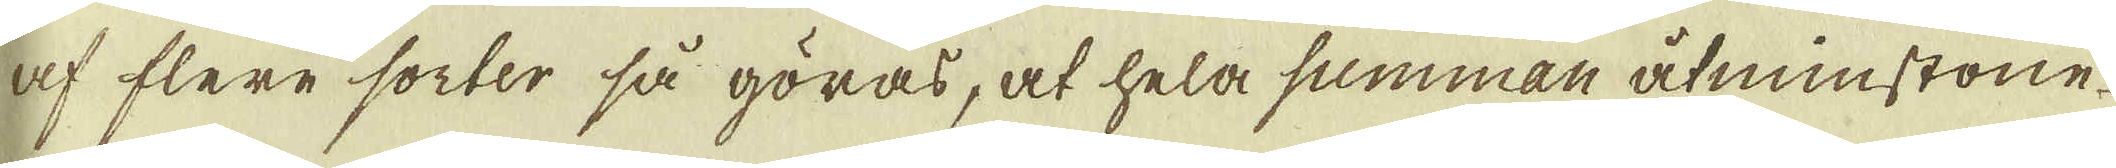af flere sorter så göras, at hela summan åtminstone
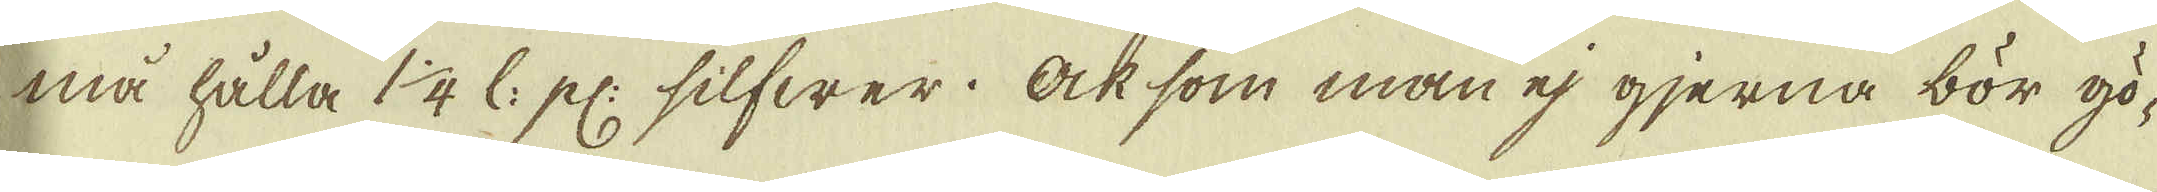må hålla 1 1/4 l: pl: silfwer. Ock som man ej gjerna bör gö-
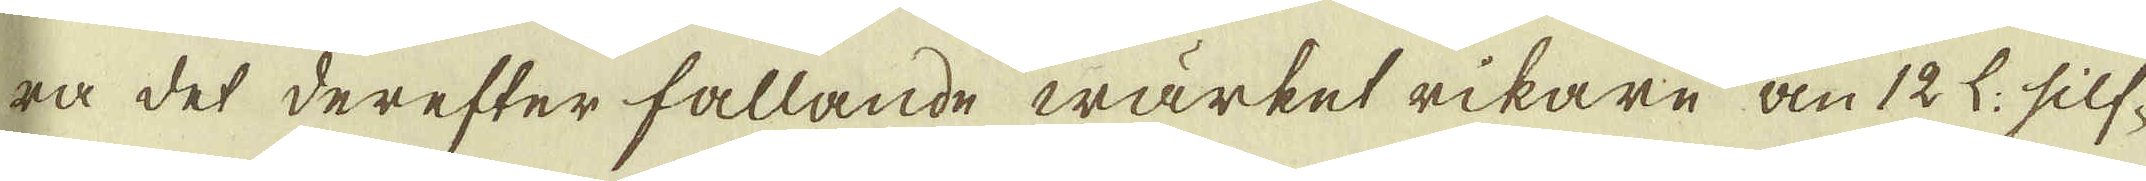ra det derefter fallande wärket rikare än 12 l: silf-
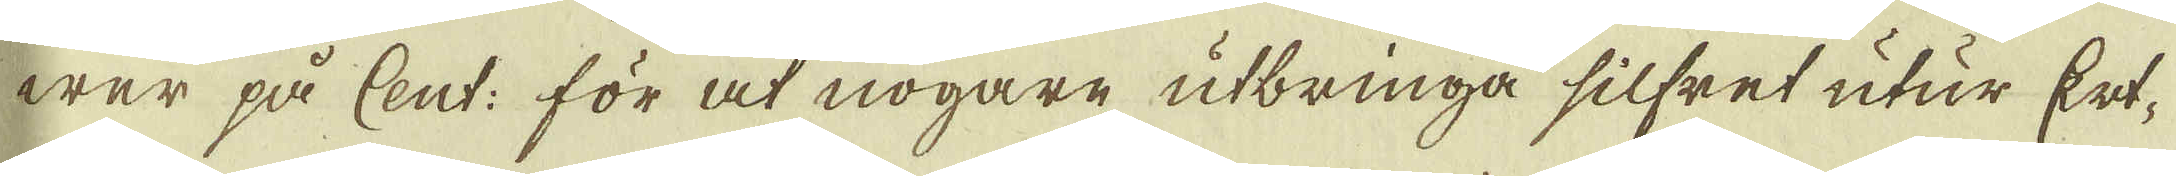wer på Cent: för at nogare utbringa silfret utur Ert-
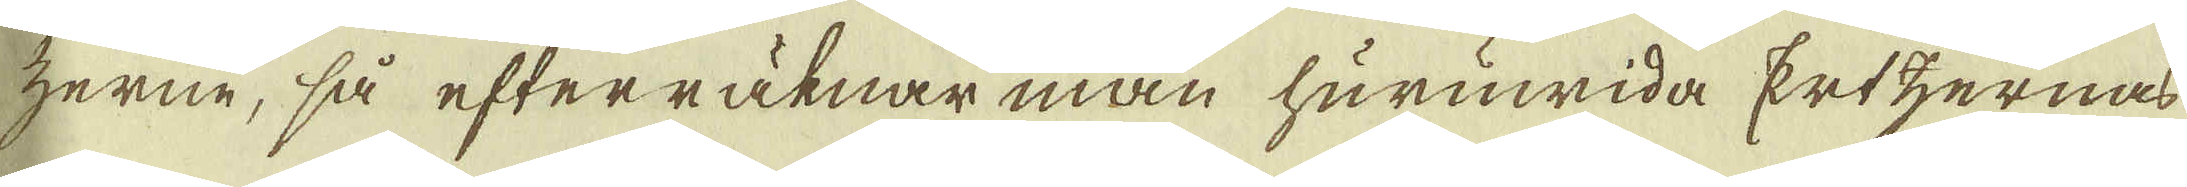zerne, så efterräknar man huruwida Ertzernas
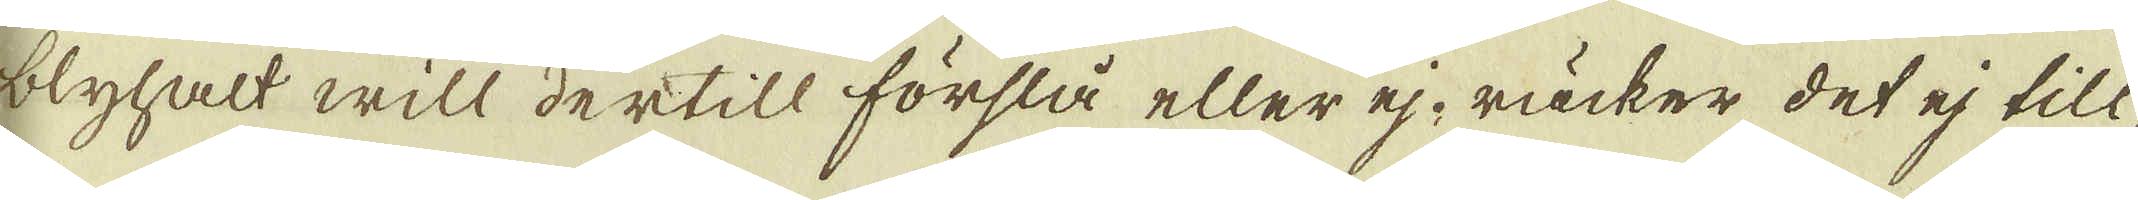blyhalt will dertill förslå eller ej, räcker det ej till,
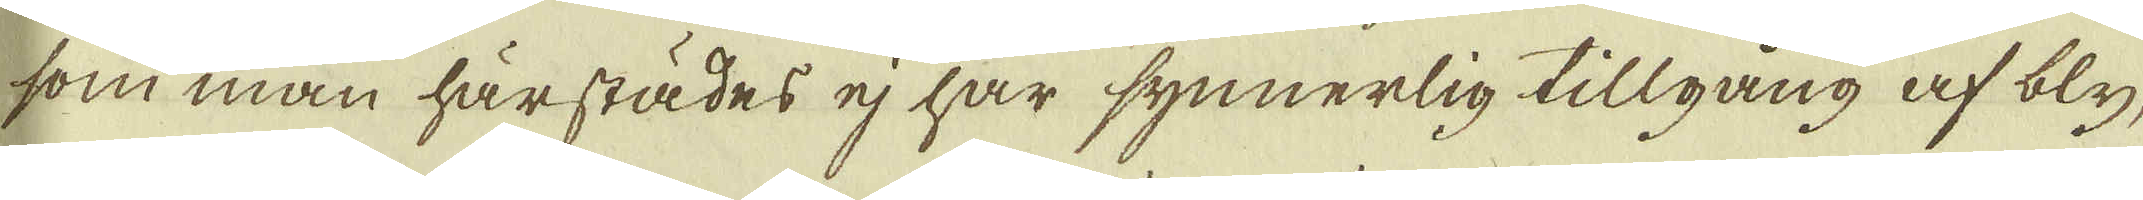som man härstädes ej har synnerlig tillgång af bly,
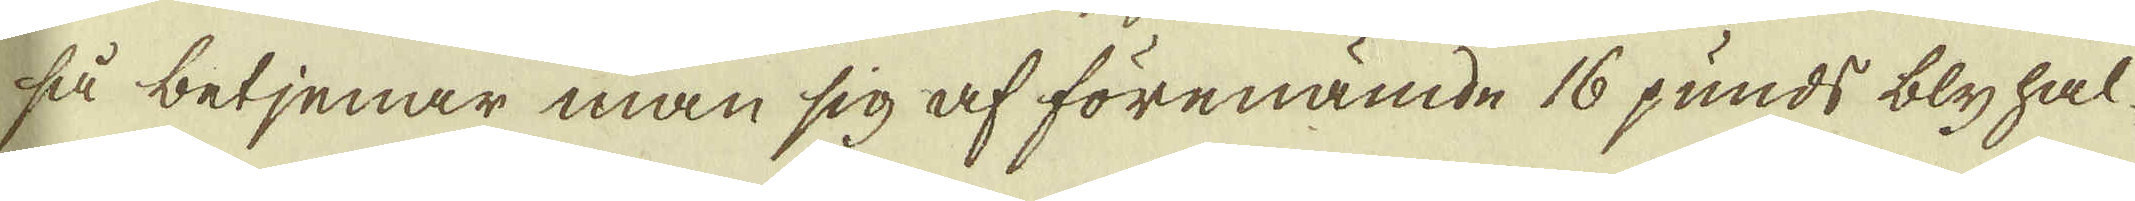så betienar man sig af förenämde 16 punds blyhal-
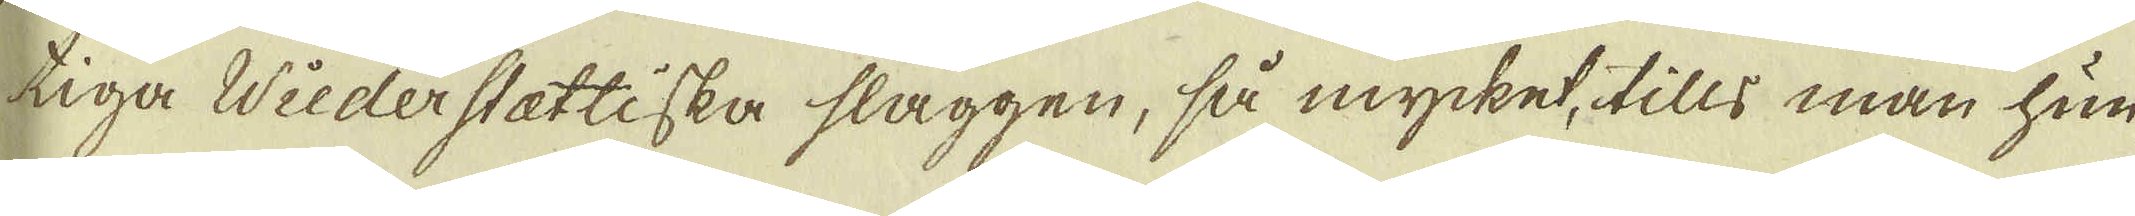tiga Wiederstattiska slaggen, så mycket, tills man hun-
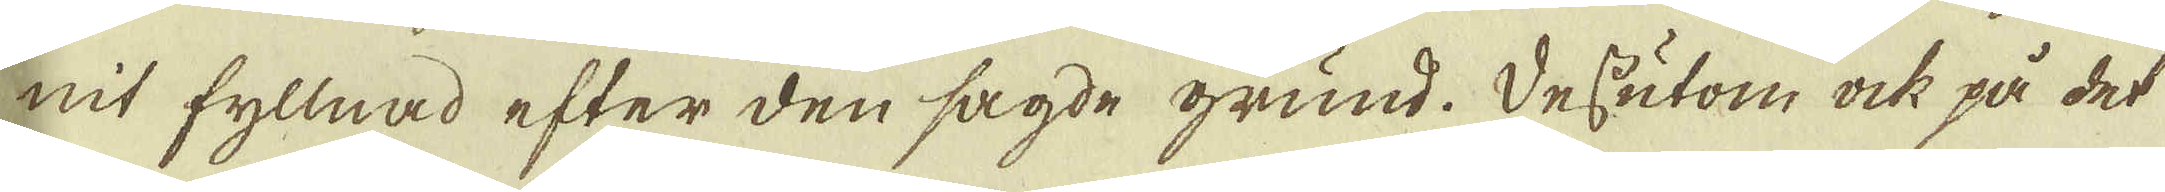nit fyllnad efter den sagde grund. Dessutom ock på det
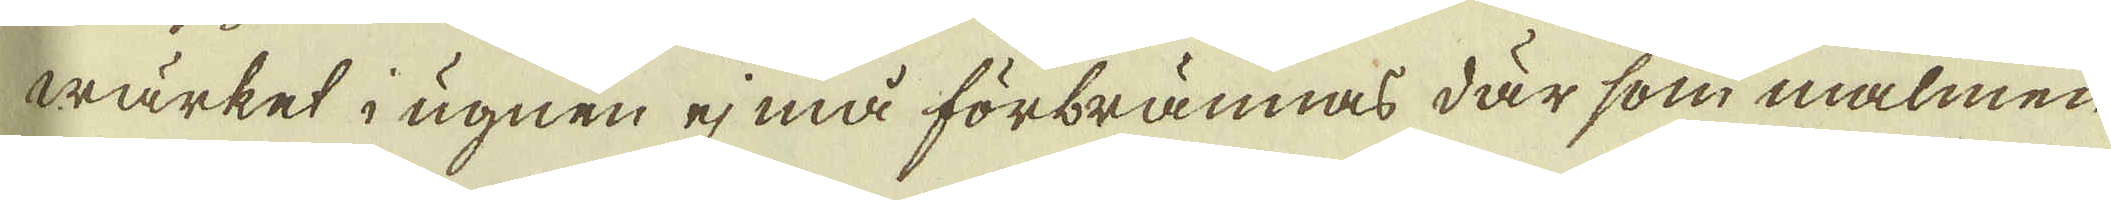wärket i ugnen ej må förbrännas där som malmen
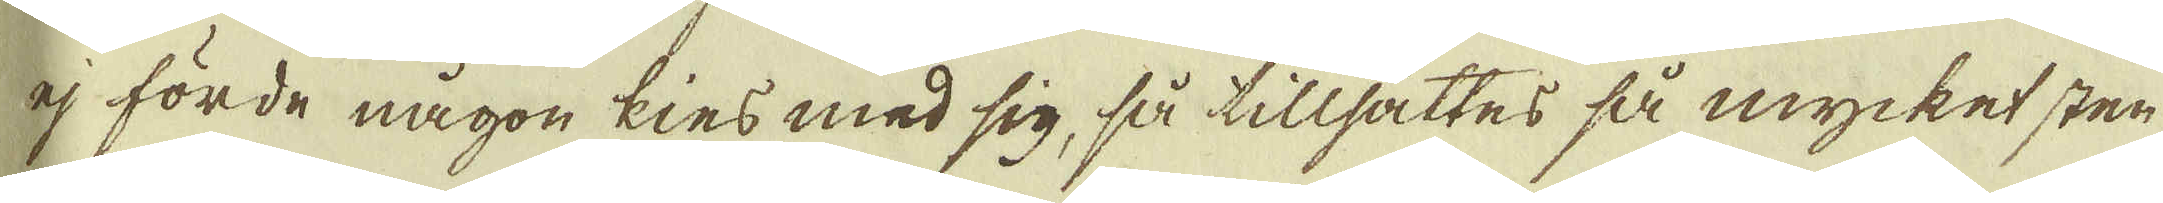ej förde någon kies med sig, så tillsättes så mycket sten
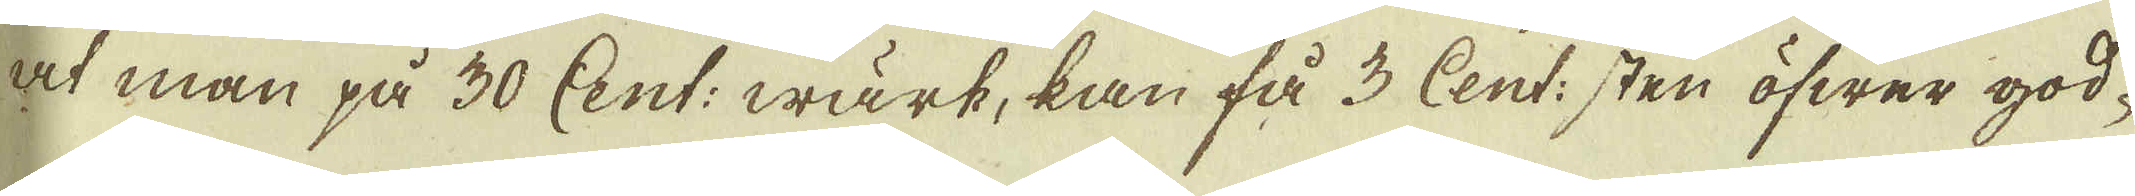at man på 30 Cent: wärk, kan få 3 Cent: sten öfwer god-
